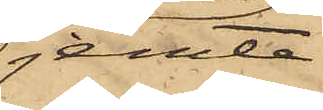jemte
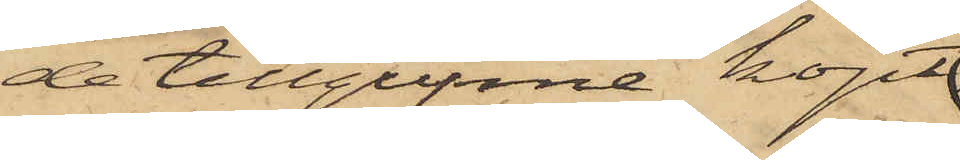de tillgripne köpt
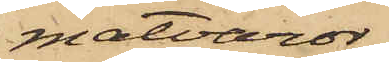matvaror,
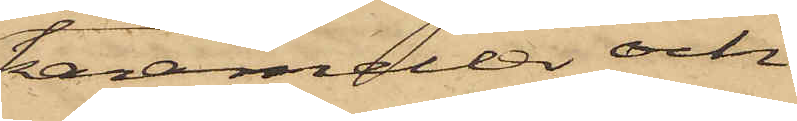karameller och
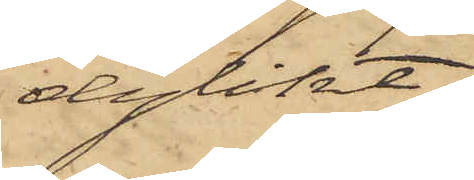dylikt.
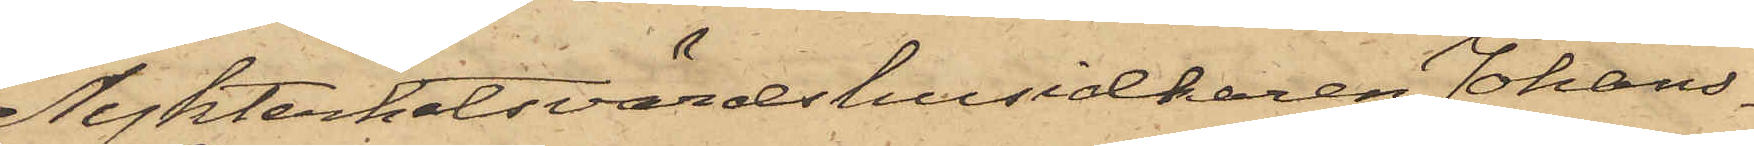Nykterhetsvärdshusidkaren Johans¬
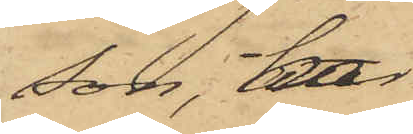son, har
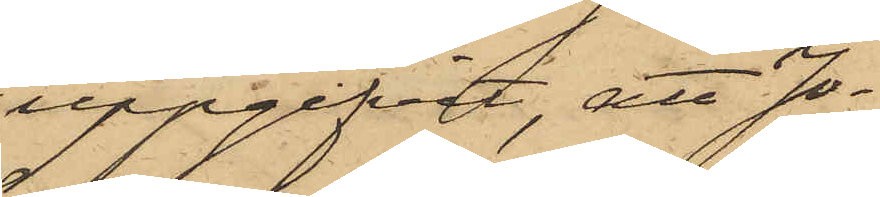uppgifvit, att Jo¬
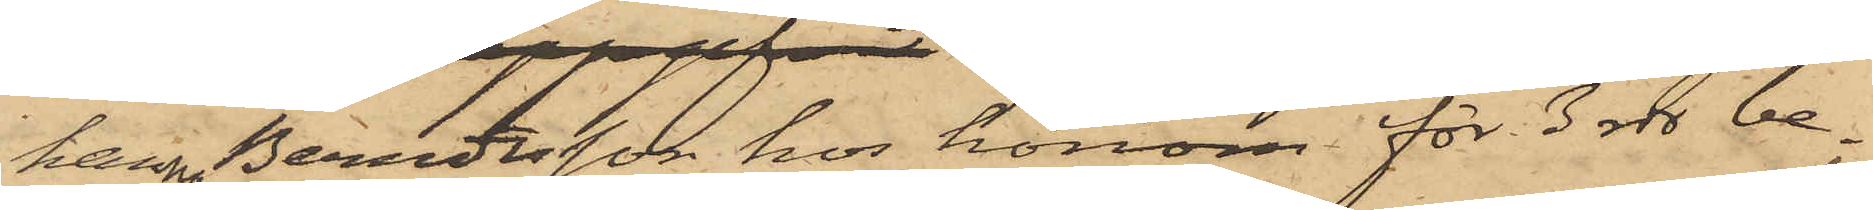hanna Berndtsson hos honom för 3 rdr be¬
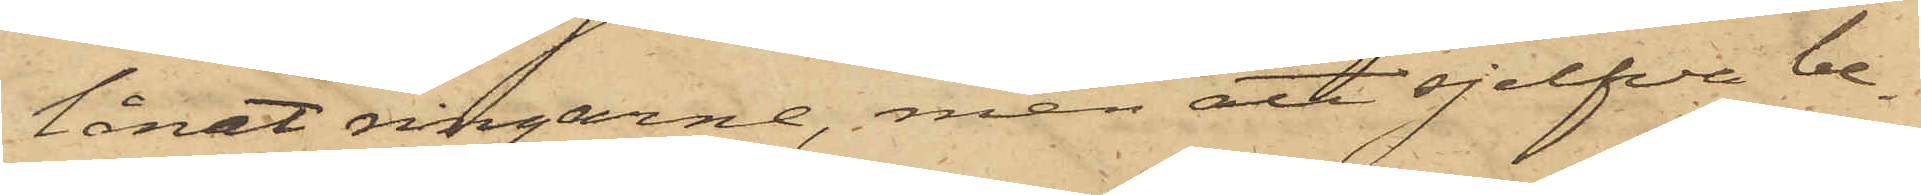lånat ringarne, men att sjelfva be¬
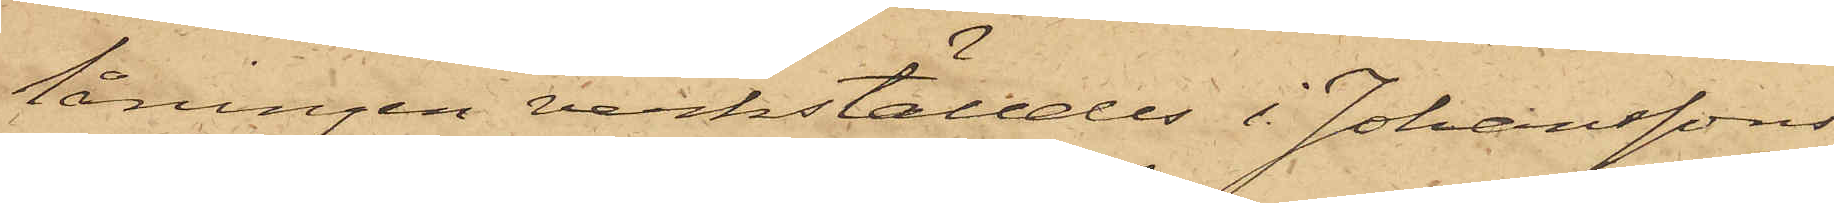låningen verkställdes i Johanssons
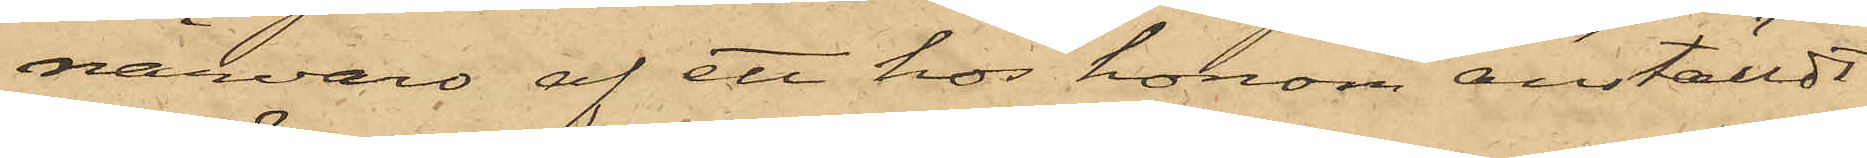närvaro af ett hos honom anställdt
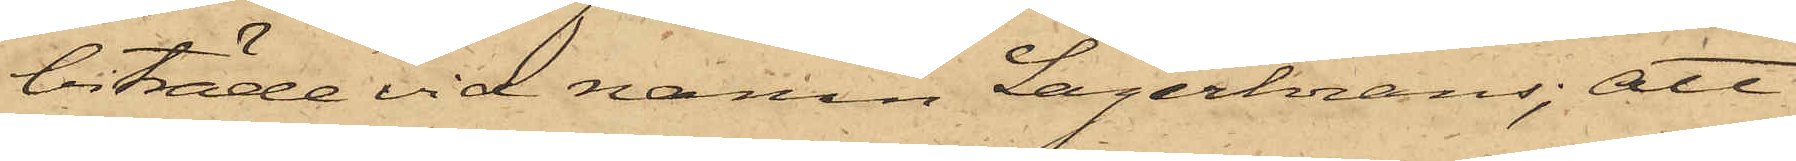biträde vid namn Lagerkrans; att
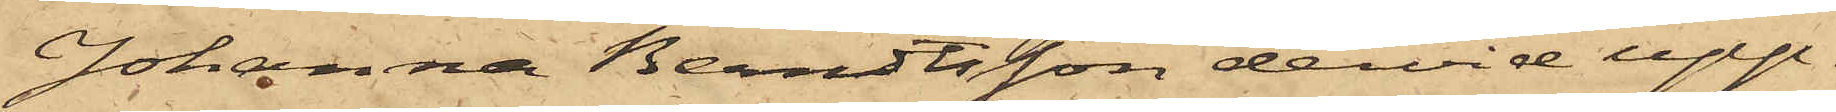Johanna Berndtsson dervid upp¬
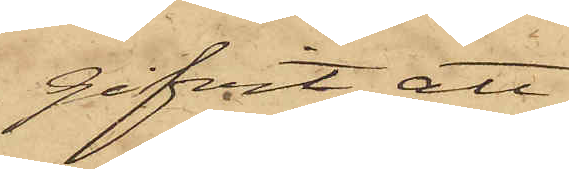gifvit, att
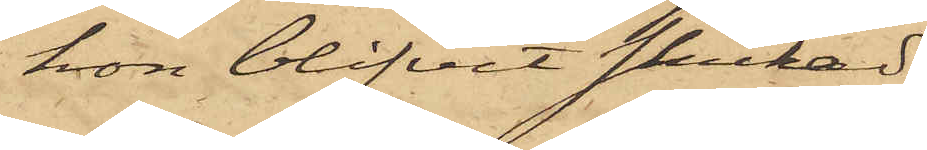hon blifvit skickad
